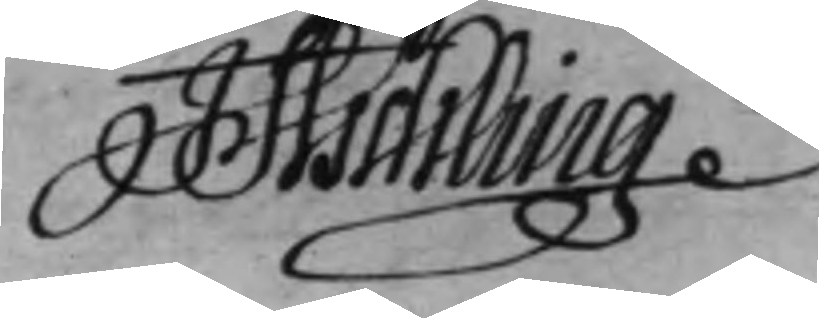J Aschling
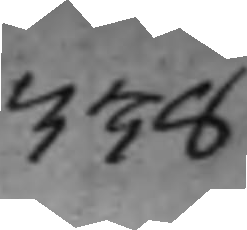338
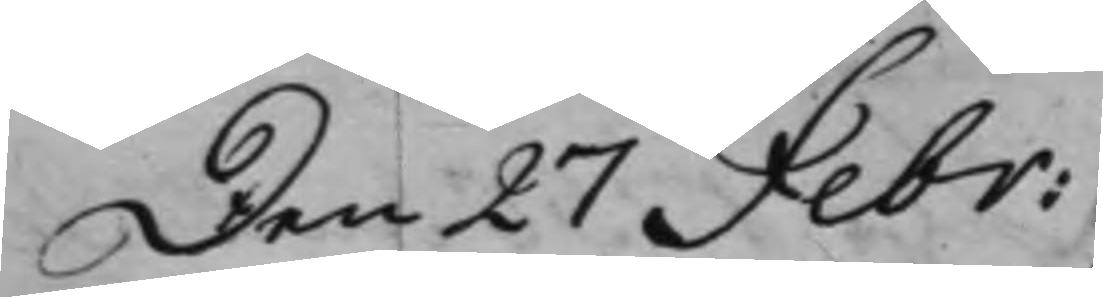Den 27 Febr:
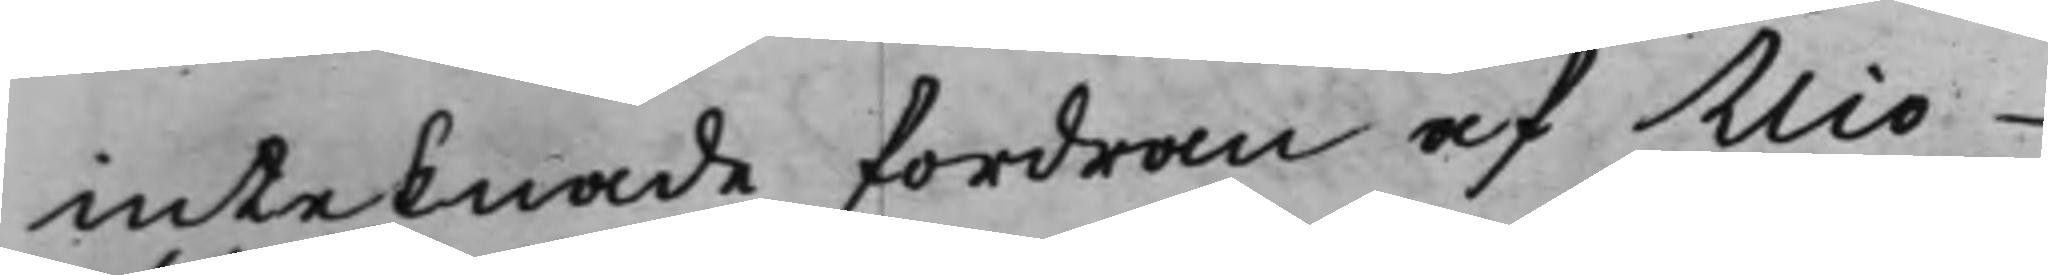inteknade fordran af Nio¬
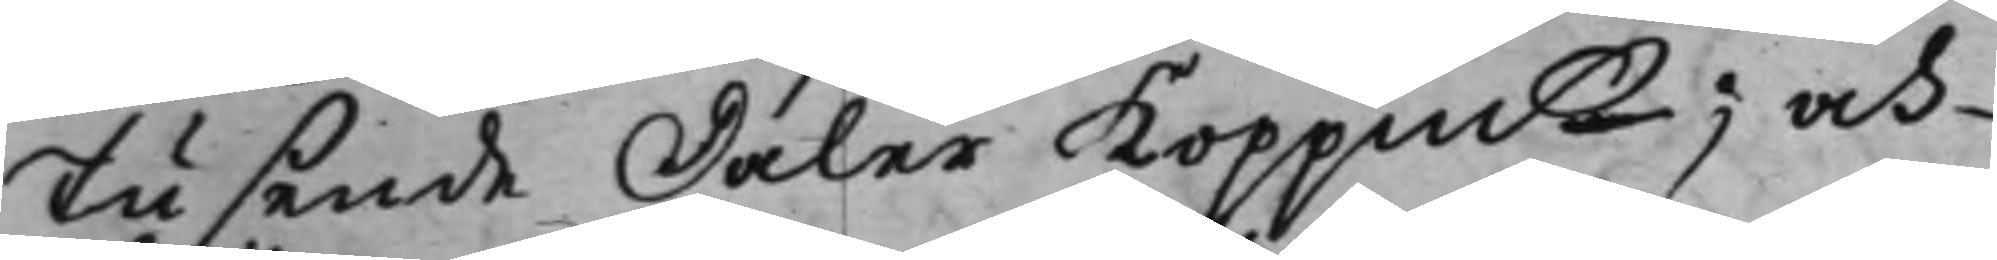tusende Daler Koppmt; och
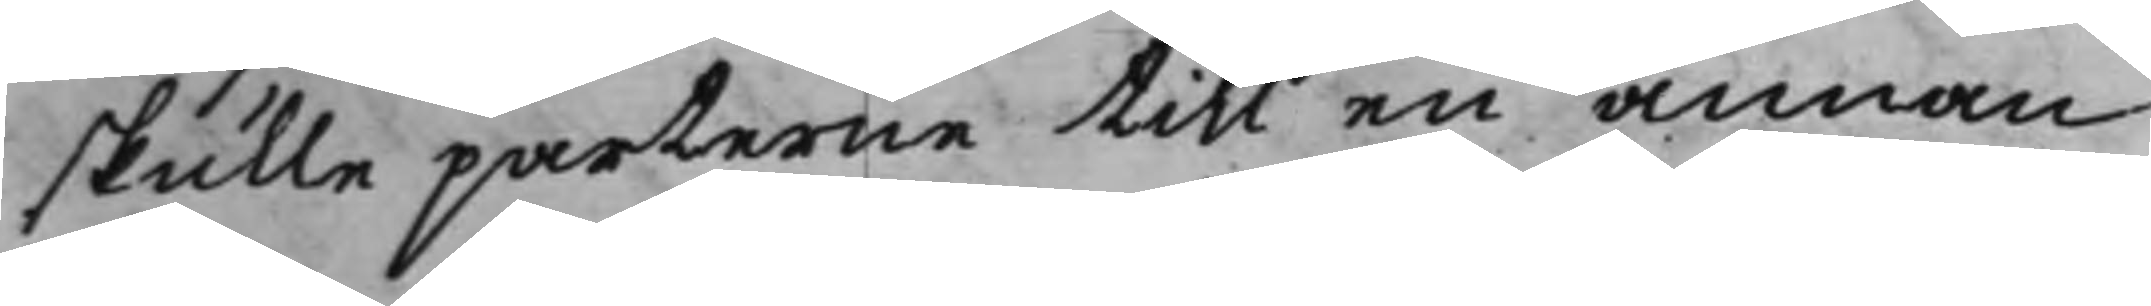skulle parterne till en annan
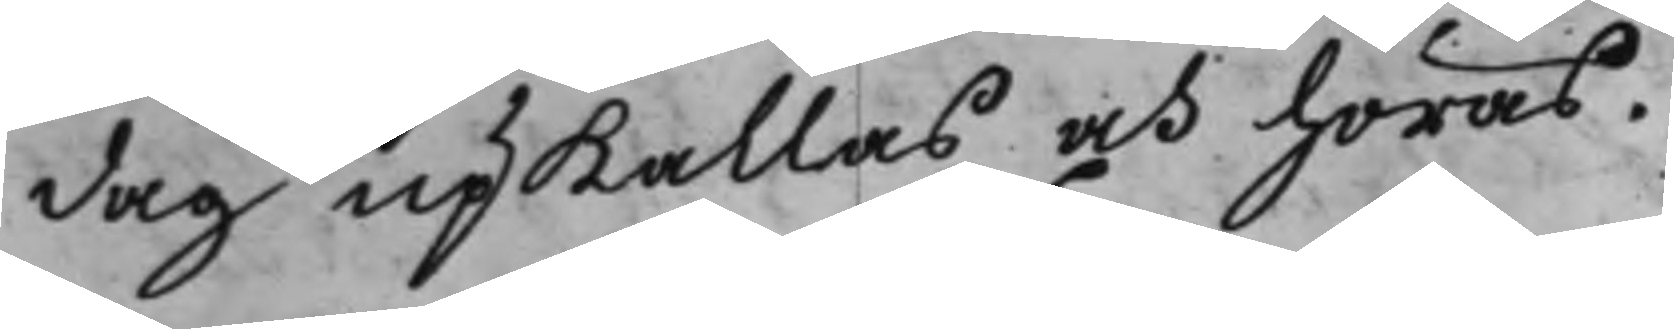dag upkallas och höras.
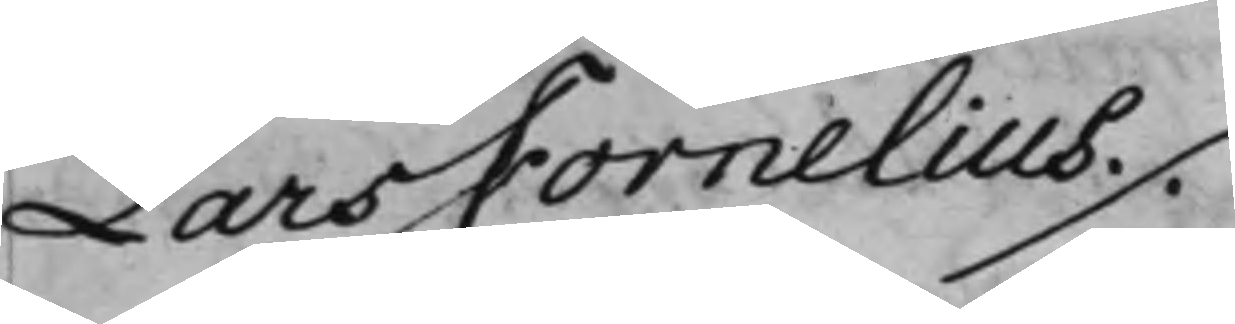Lars Fornelius ./.
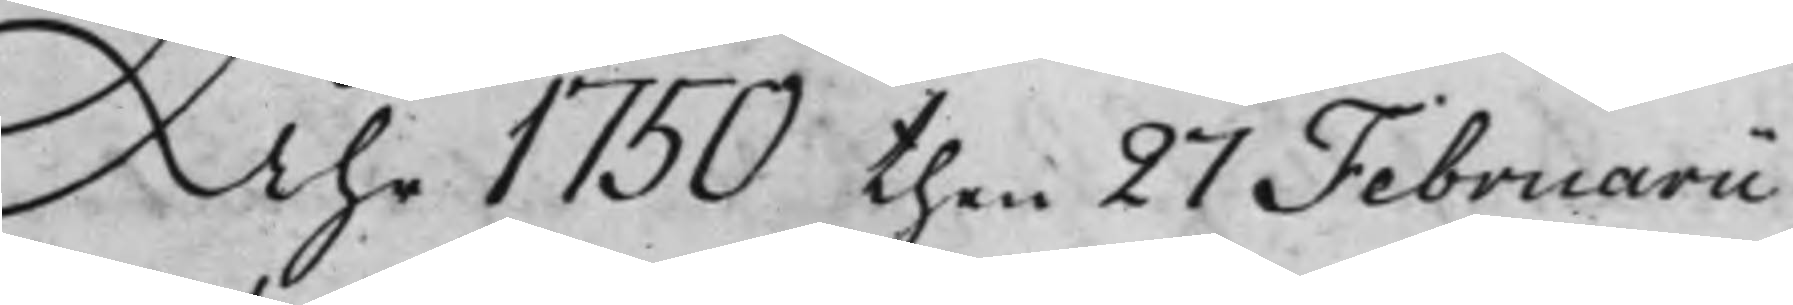Åhr 1750 then 27 Februarii
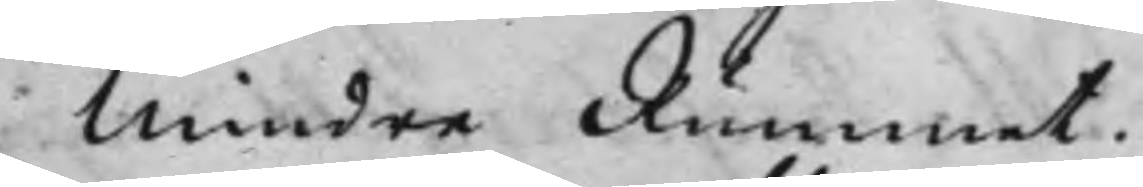Mindre Rummet.
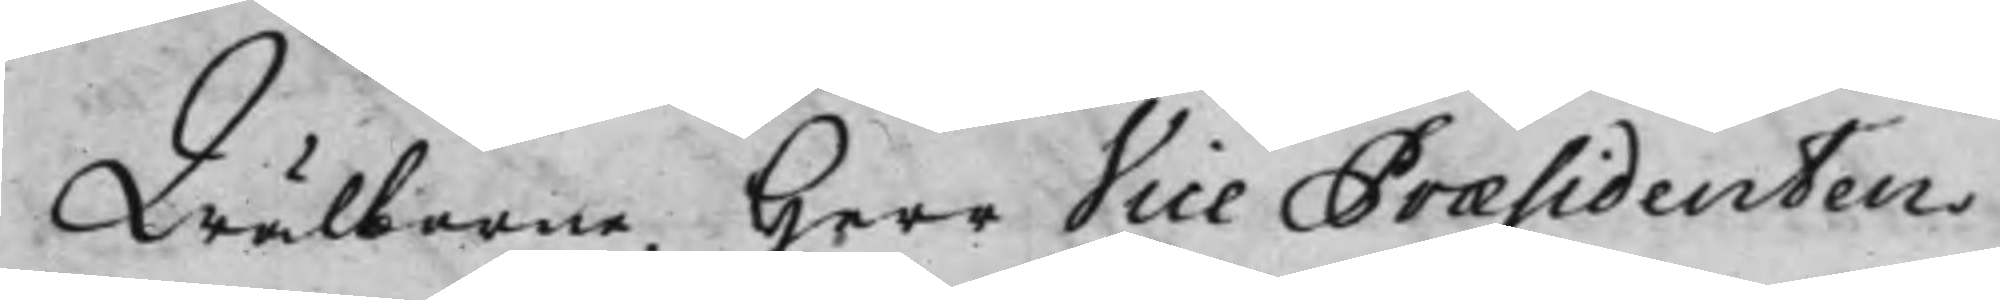Wälborne Herr Vice Præsidenten
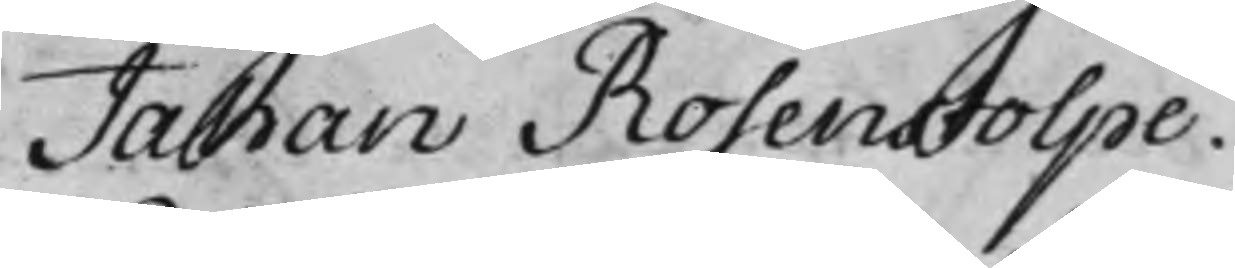Johan Rosenstolpe.
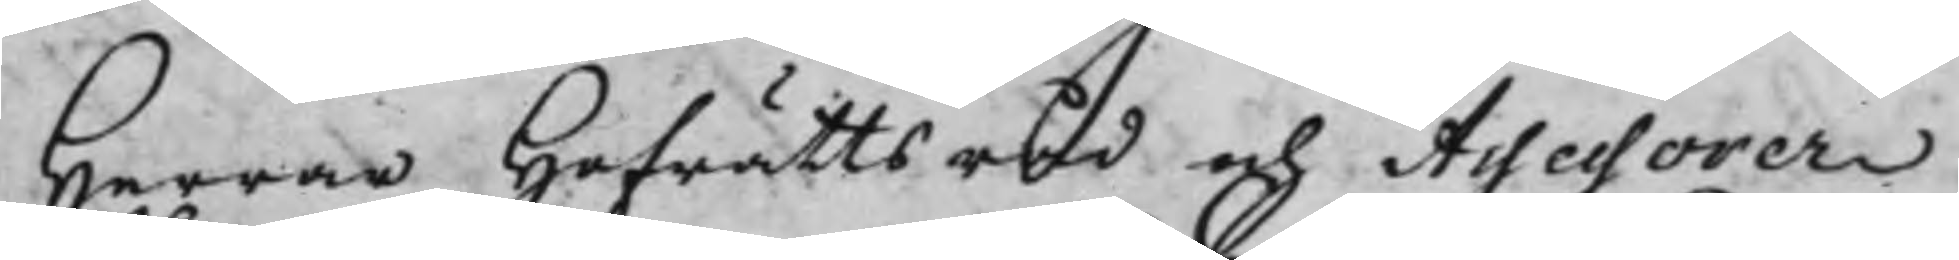Herrar Hofrättsråd och Assessorer
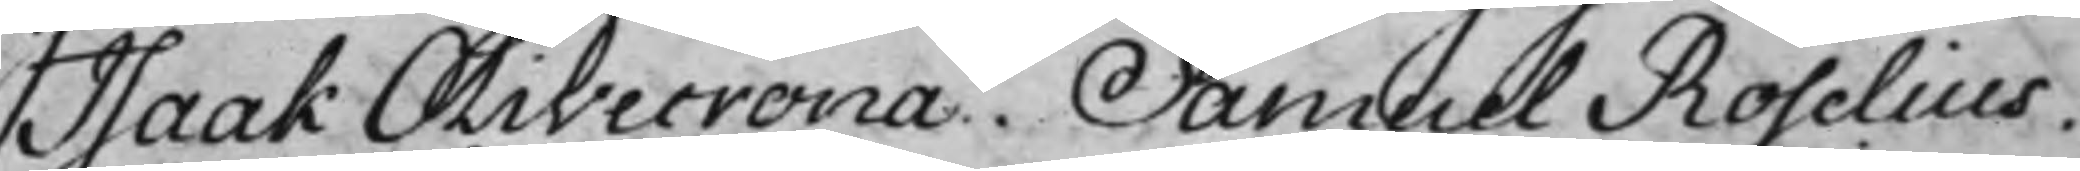Isaak Olivecrona. Samuel Roselius.
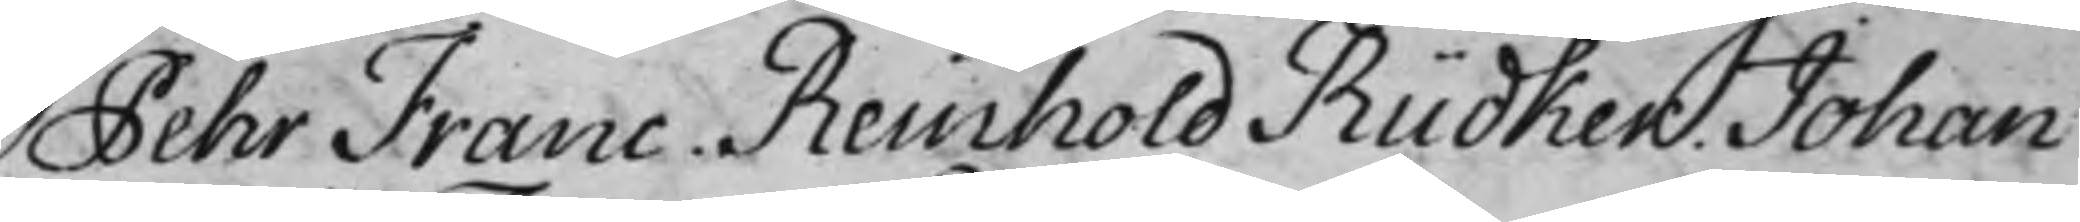Pehr Franc, Reinhold Rüdker. Johan
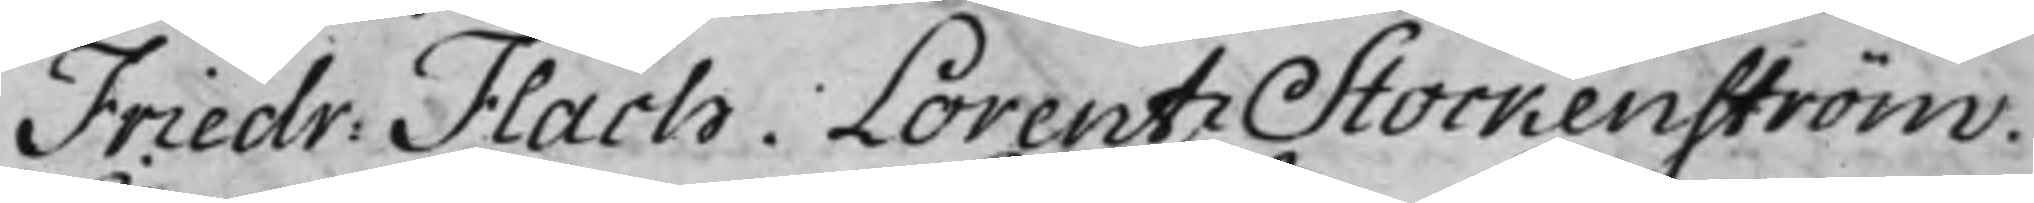Friedr: Flach. Lorentz Stockenström.
